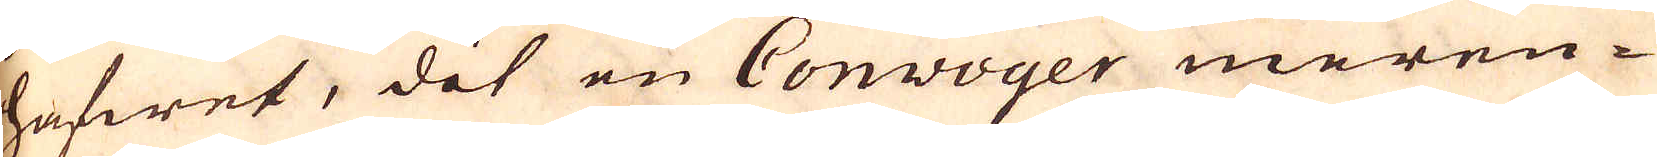hafwet, det en Conwoyer meren-
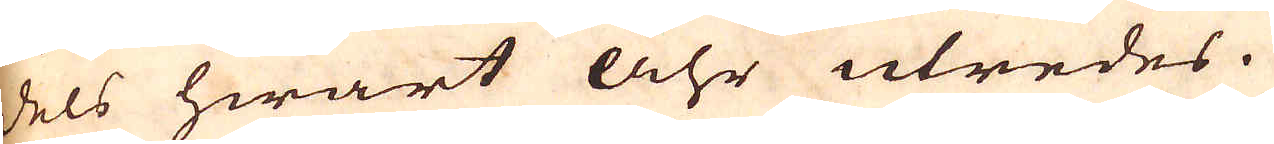dels hwart Åhr utredes.
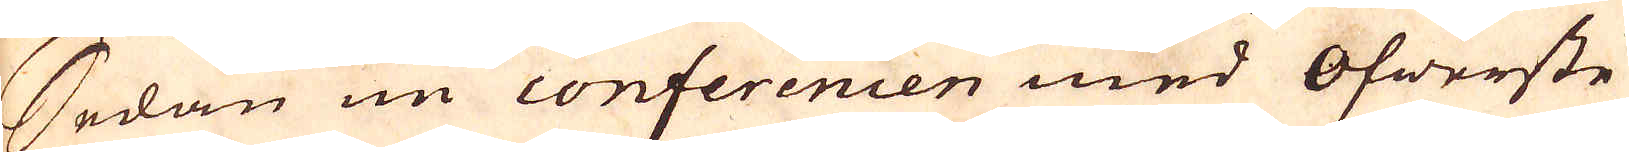Sedan nu conferencen med Öfwerste
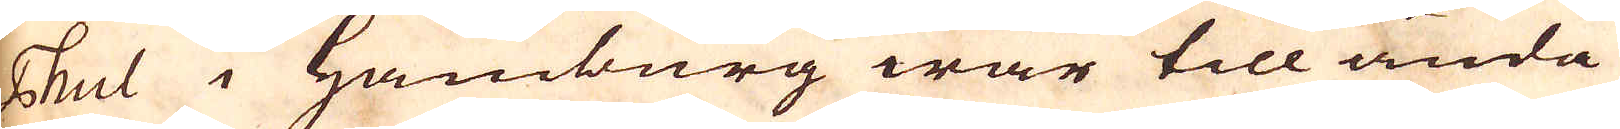Thul i Hamburg war till ända
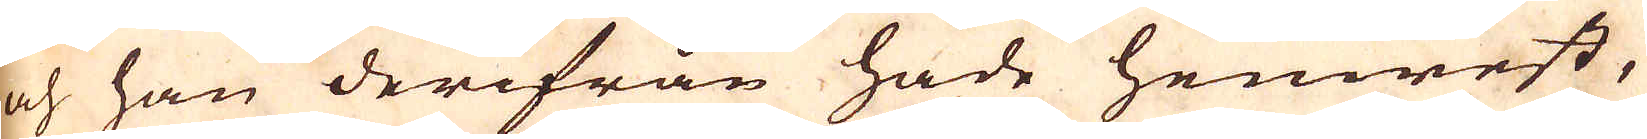och han derifrån hade hemrest,
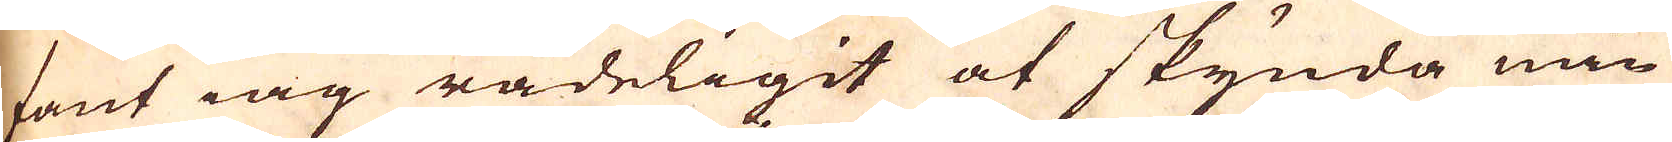fant iag rådeligit at skynda min
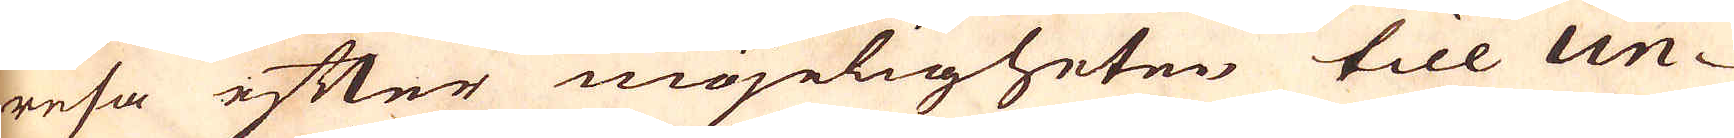resa efter möjeligheten till Un-
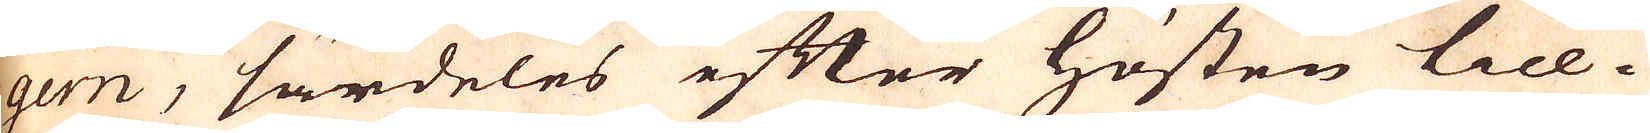gern, särdeles efter hösten till-
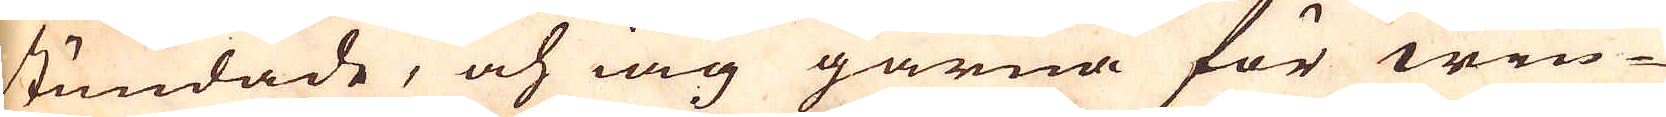stundade, och iag gärna för win-
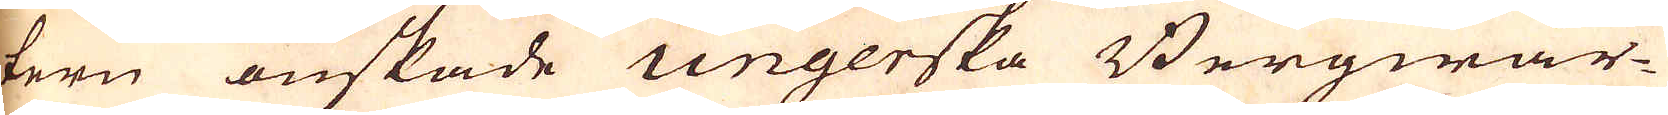tern önskade ungerska Bergwär-
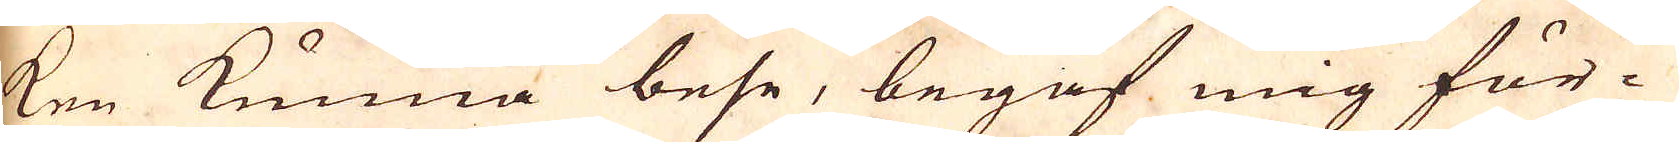ken kunna bese, begaf mig för-
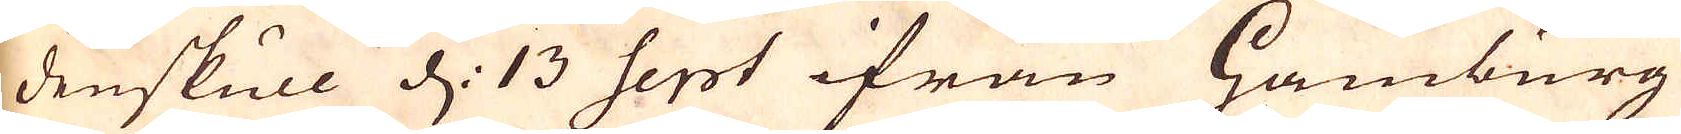denskull d: 13 Sept ifrån Hamburg
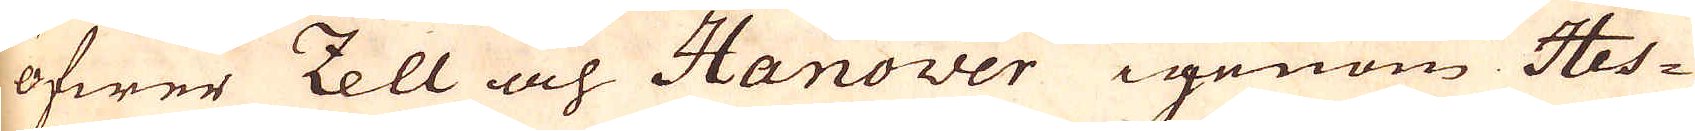öfwer Zell och Hanower igenom Hes-
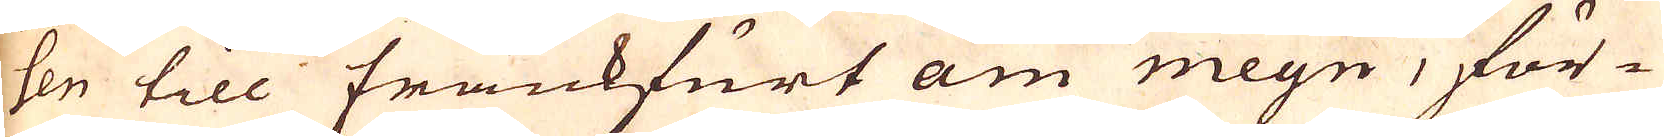sen till Frankfurt am meyn, för-
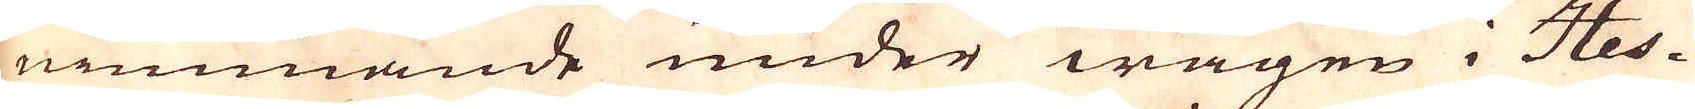nimmande under wägen i Hes-
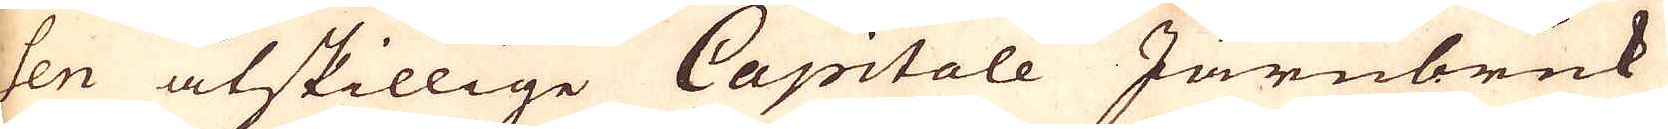sen åtskillige Capitale Järnbruk
